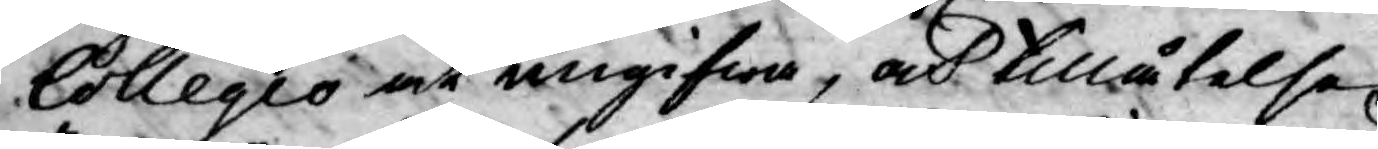Collegio at angifwa, och tillåtelse
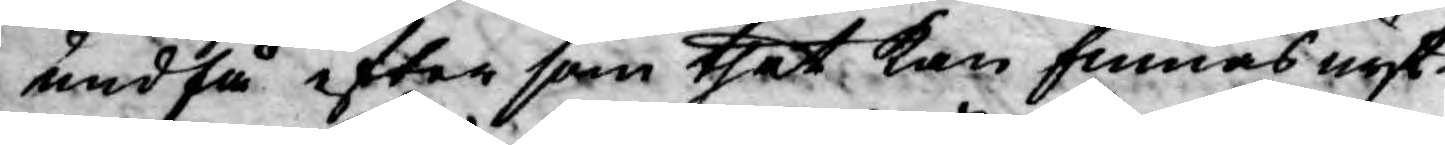undfå efter som thet kan finnas nyt¬
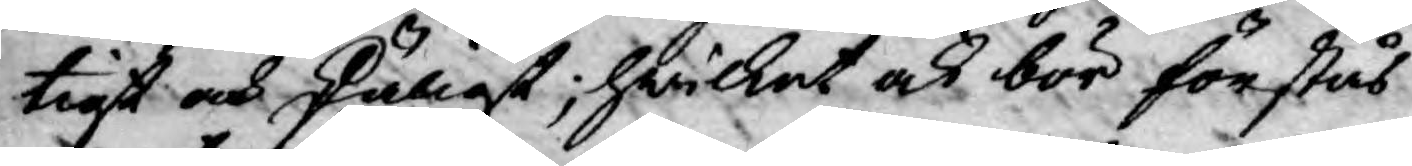tigt och skäligt; hwilket ock bör förstås
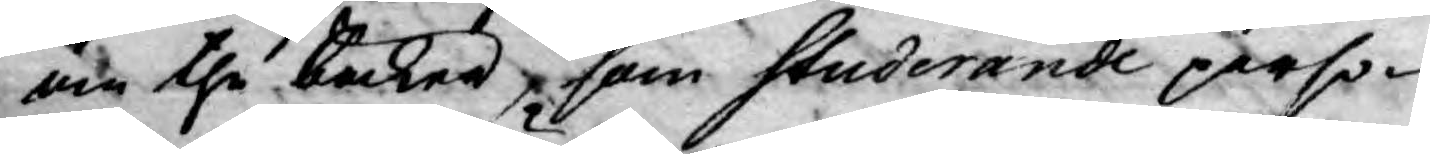om the böcker, som studerande perso¬
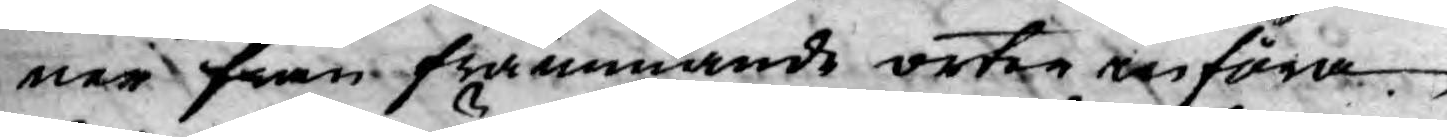ner från främmande orter införa.
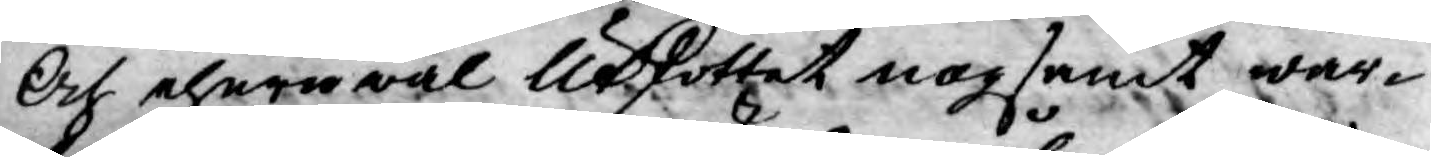Och ehuruwäl Utskottet nogsamt war¬
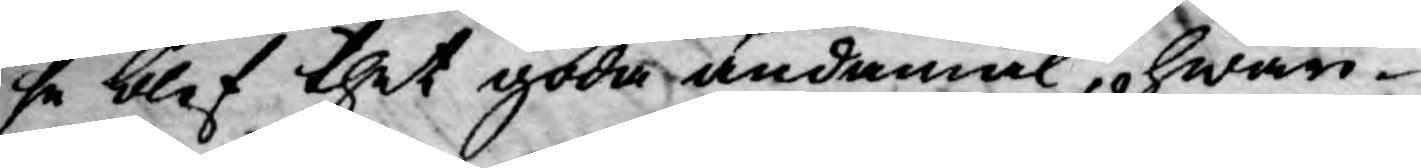se blef thet goda ändamål, hwari¬
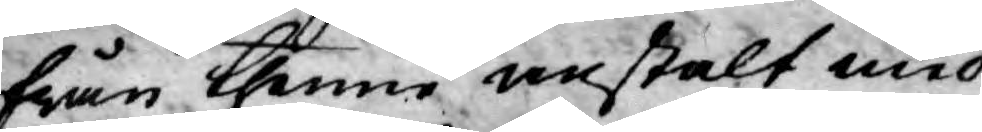från thenne anstalt med
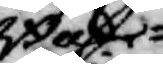Boke¬
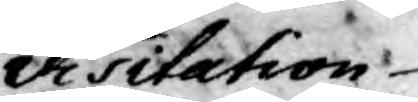visitation
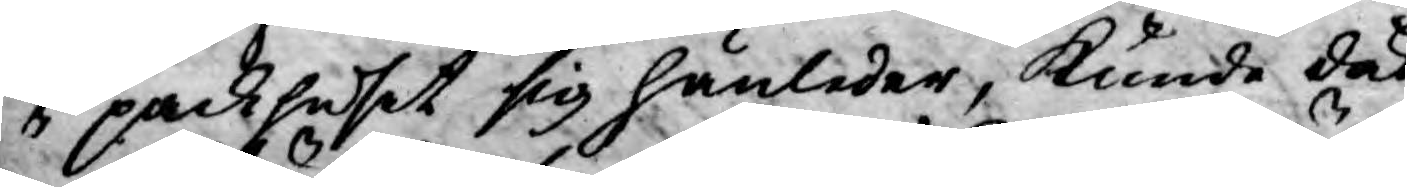i packhuset sig hänleder, kunde dock
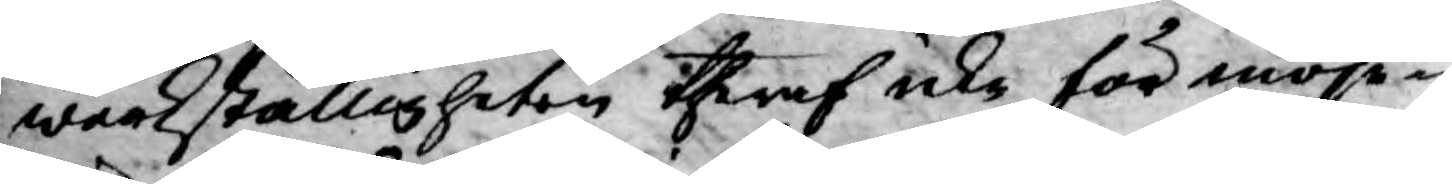wärkställigheten theraf icke för möje¬
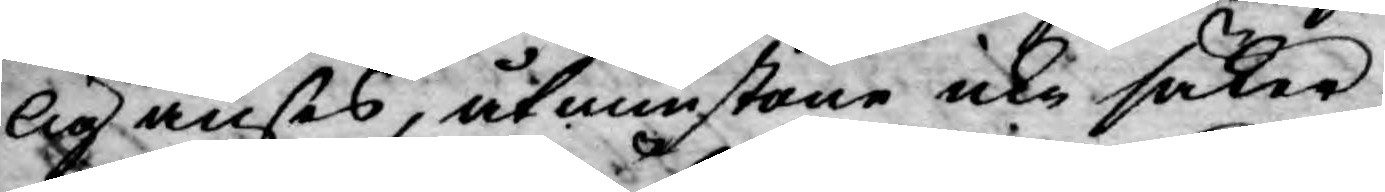lig anses, åtminstone icke säker
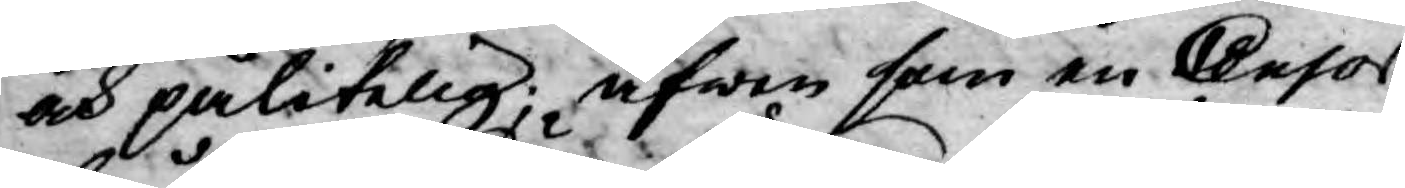och pålitelig; äfwen som en Censor
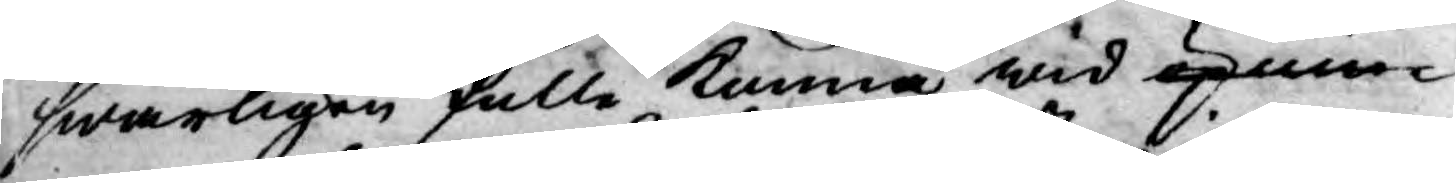swårligen skulle kunna wid öpnin¬
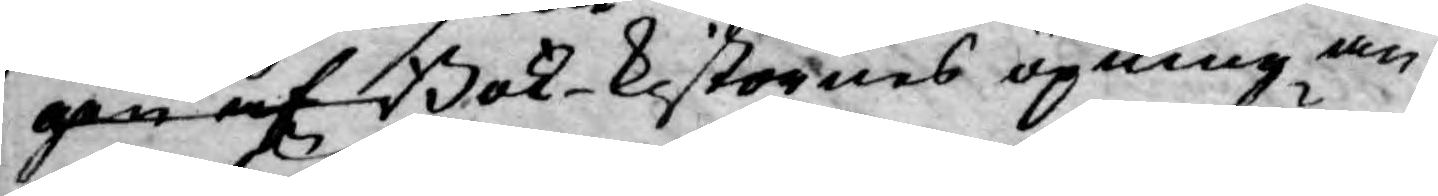gen af Bok-kistornes öpning an¬
